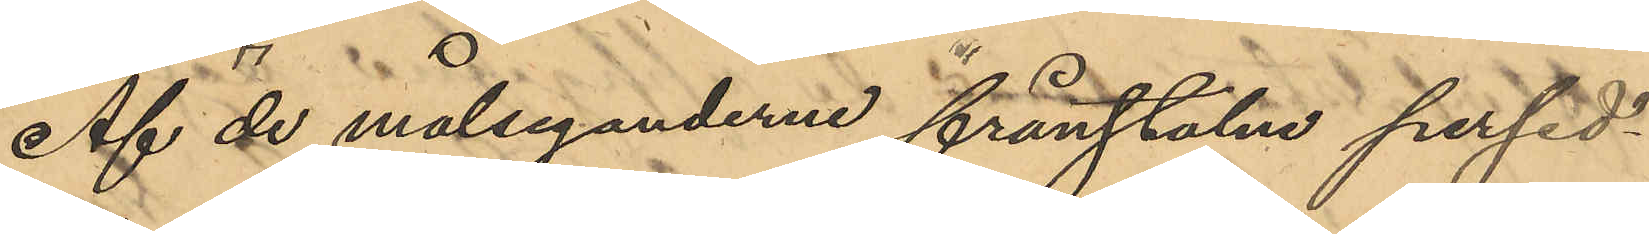Af de målseganderne frånstulna persed¬
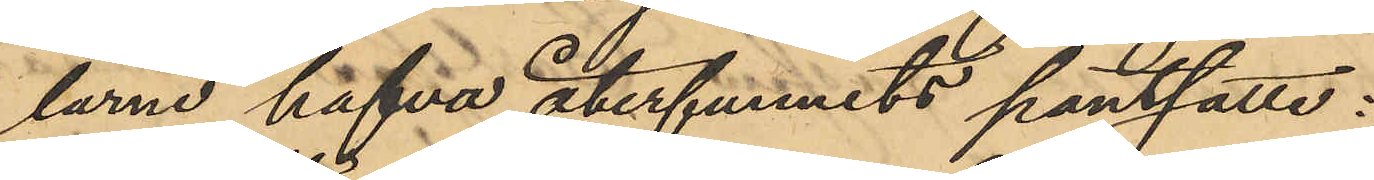larne hafva återfunnits pantsatte:
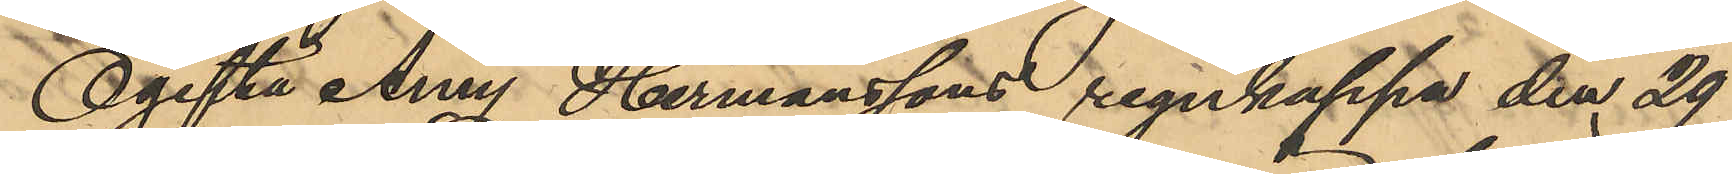Ogifta Amy Hermanssons regnkappa den 29
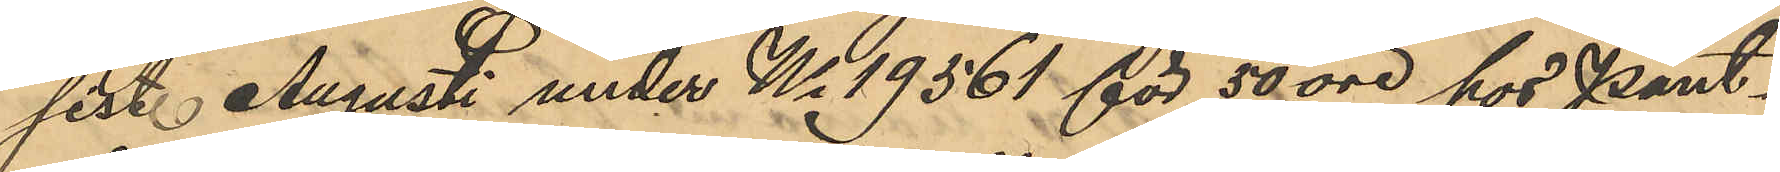sist. Augusti under No 19561 för 50 öre hos Pant¬
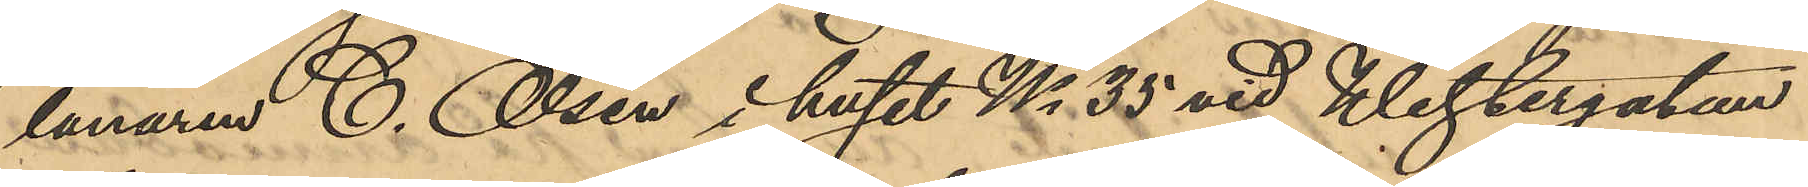lånaren C. Olsen i huset No 35 vid Westergatan
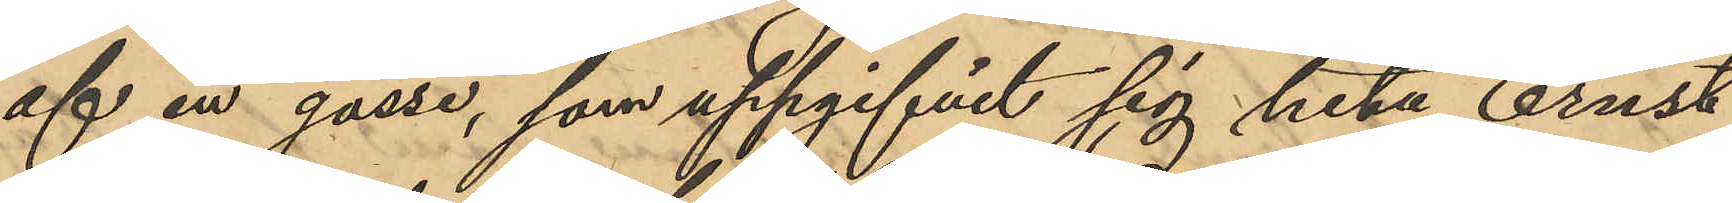af en gosse, som uppgifvit sig heta Ernst
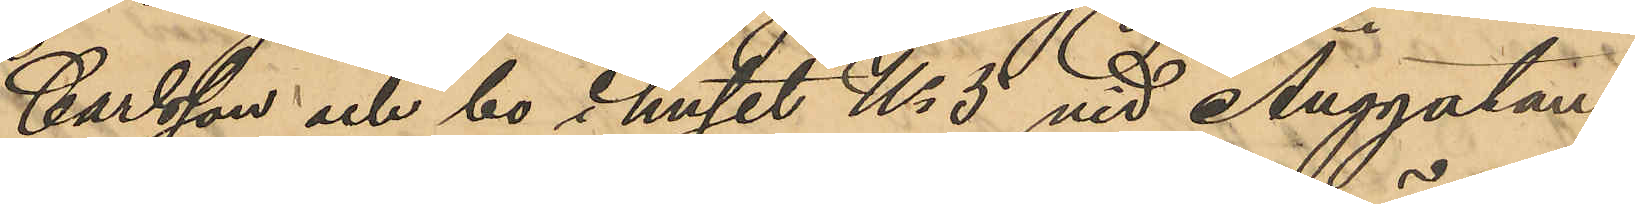Carlsson och bo i huset No 5 vid Änggatan,
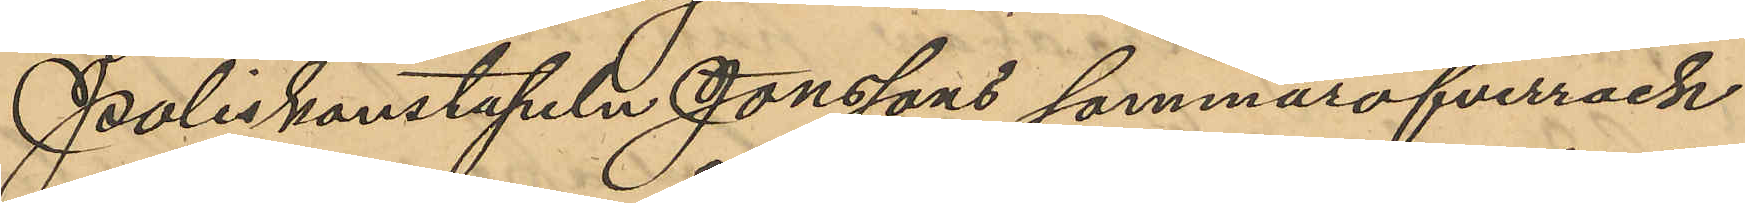Poliskonstapeln Jonssons sommaröfverrock
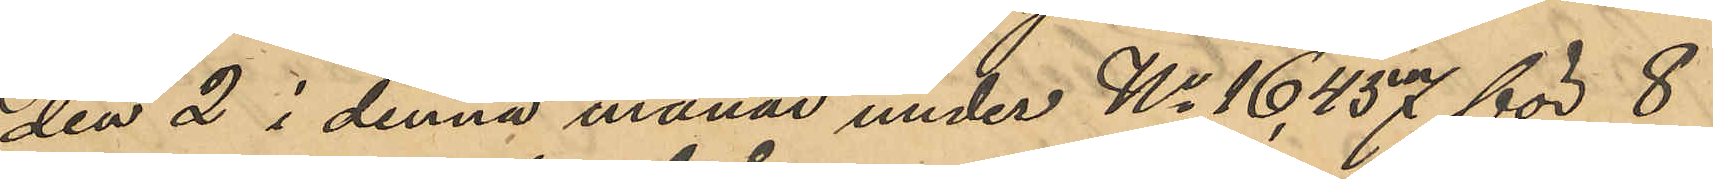den 2 i denna månad under No 16,457 för 8
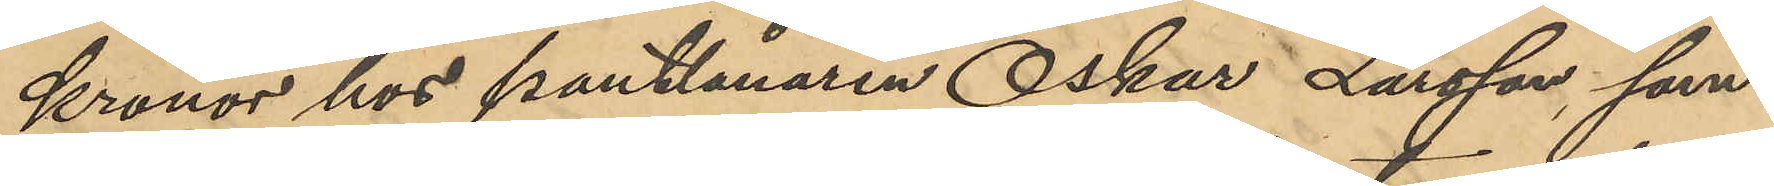Kronor hos pantlånaren Oskar Larsson, som
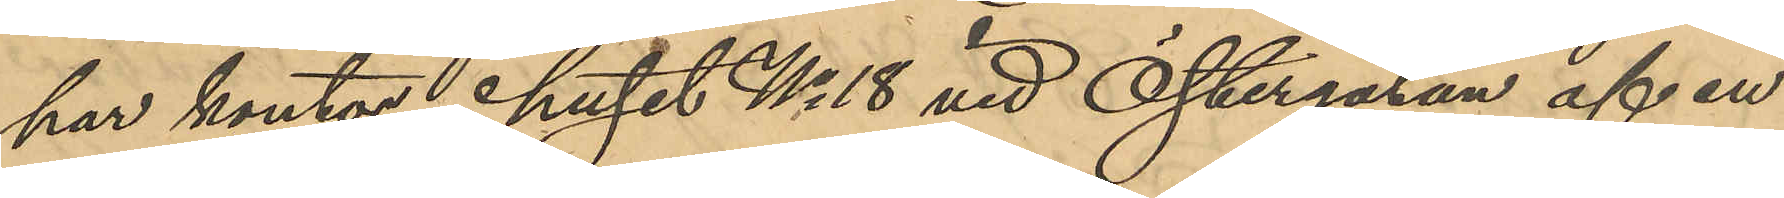har kontor i huset No 18 vid Östergatan af en
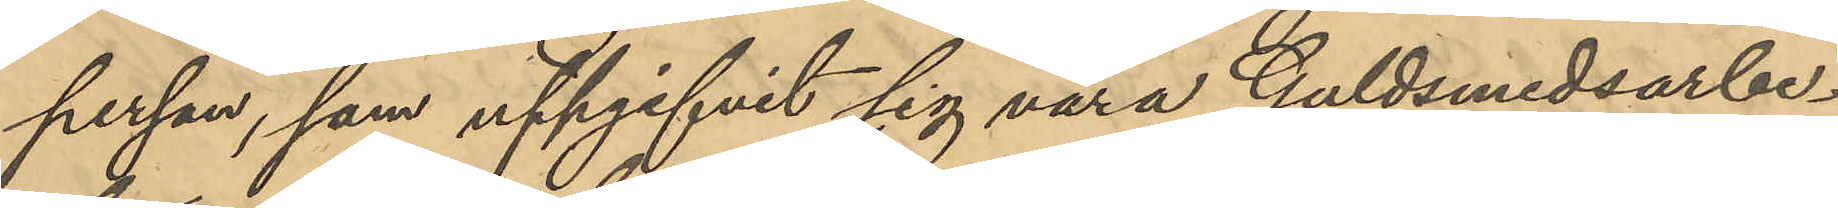person, som uppgifvit sig vara Guldsmedsarbe¬
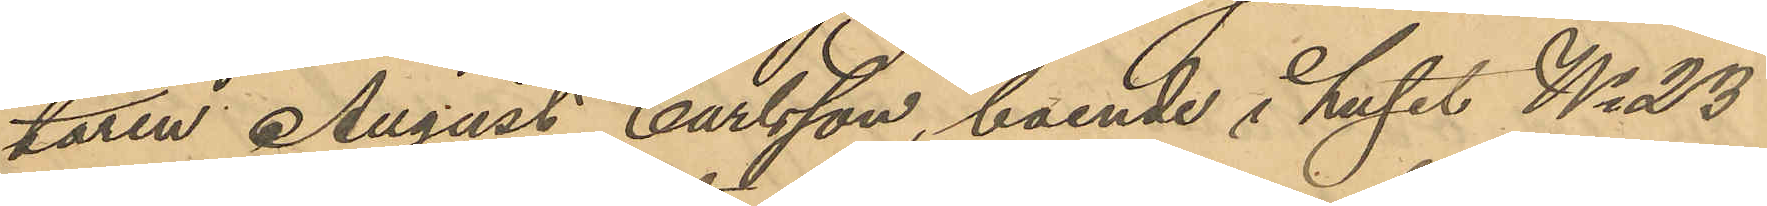taren August Carlsson, boende i huset No 23
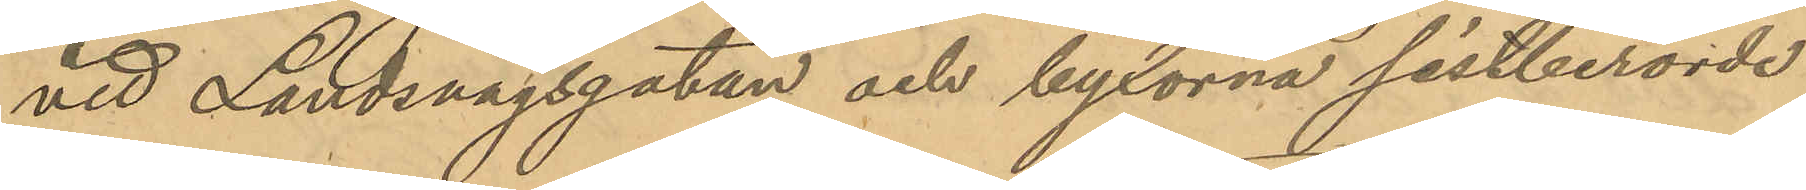vid Landsvägsgatan och byxorna sistberörde
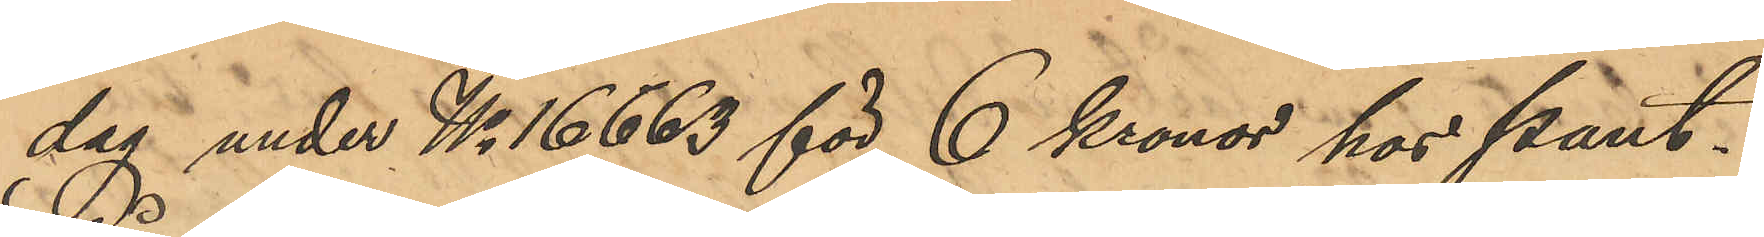dag under No 16663 för 6 Kronor hos Pant¬
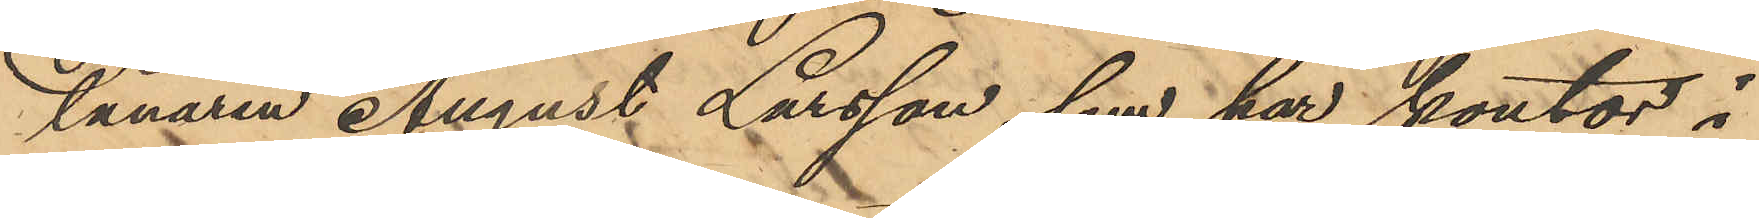lånaren August Larsson, som har kontor i
